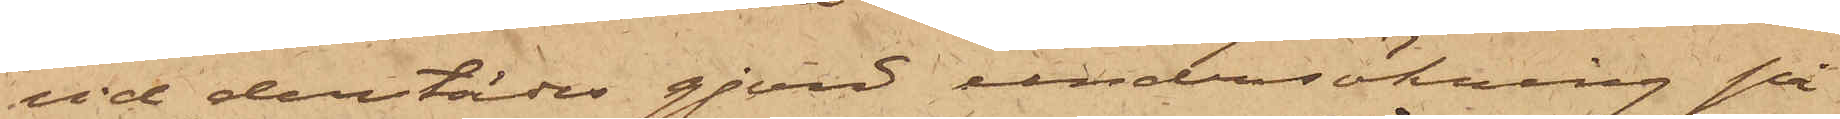vid derstädes gjord undersökning på¬
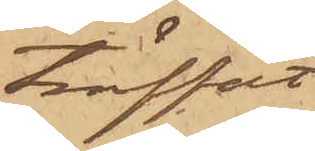träffat
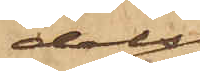dels
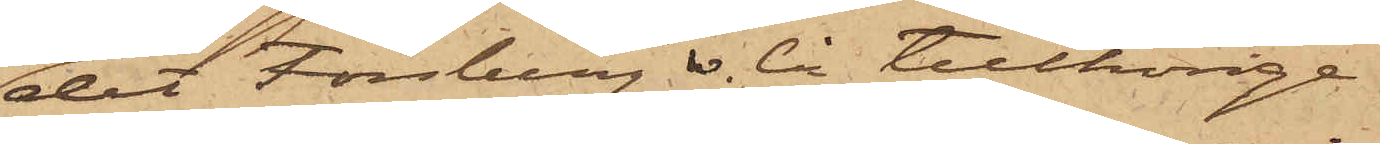det Forsberg & Ci tillhörige
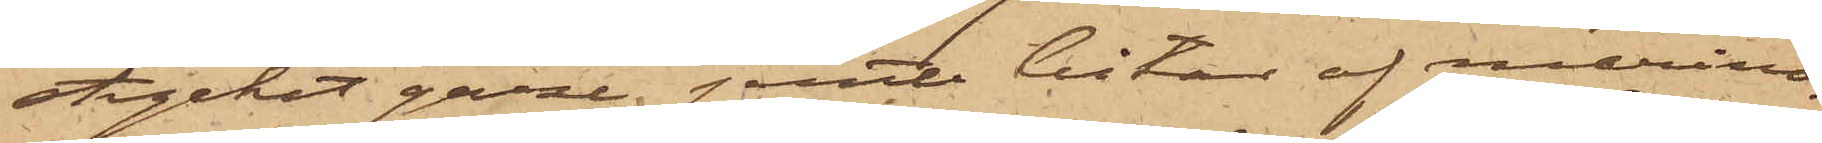stycket gaze jemte bitar af merino¬
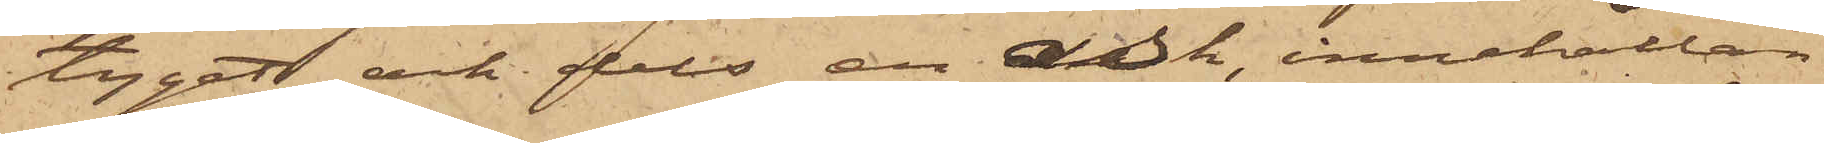tyget och dels en ask, innehållan¬
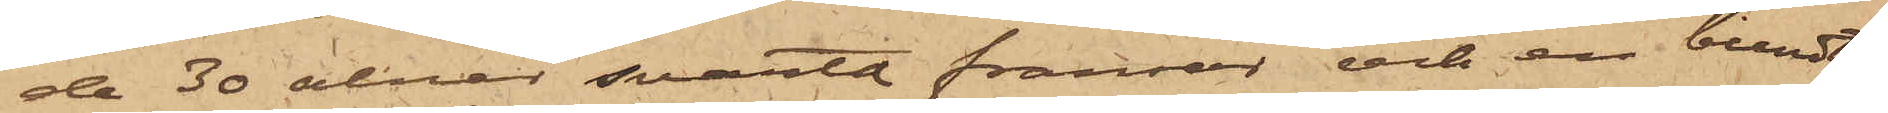de 30 alnar svarta fransar och en bundt
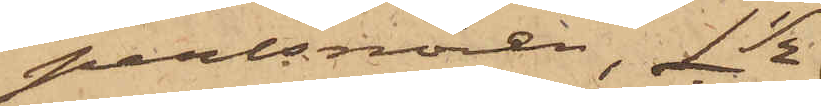perlsnören, 1 1/2 
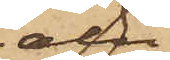aln
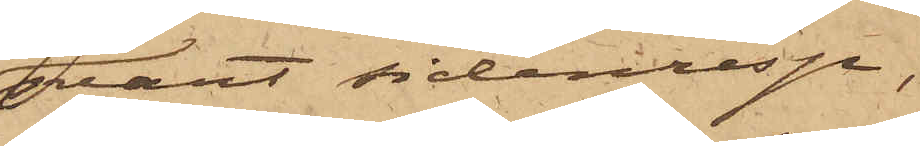svart sidenrisp,
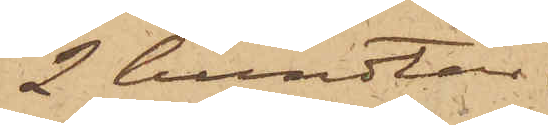2 bundtar
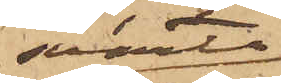svarta
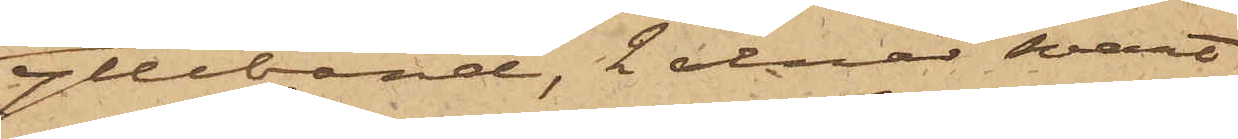ylleband, 2 alnar svart
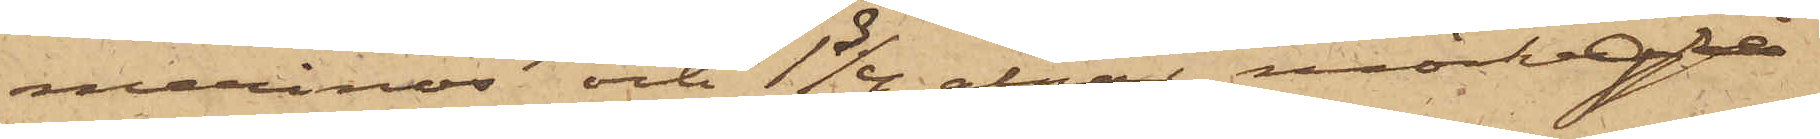merino och 1 3/4 alnar mörkgrå
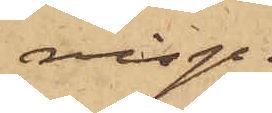risp.
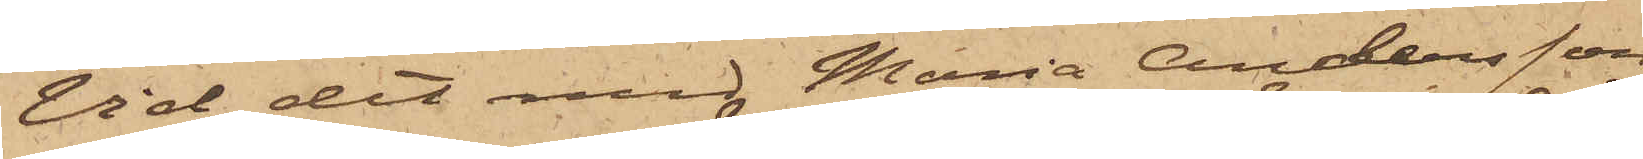Vid det med Maria Andersson
